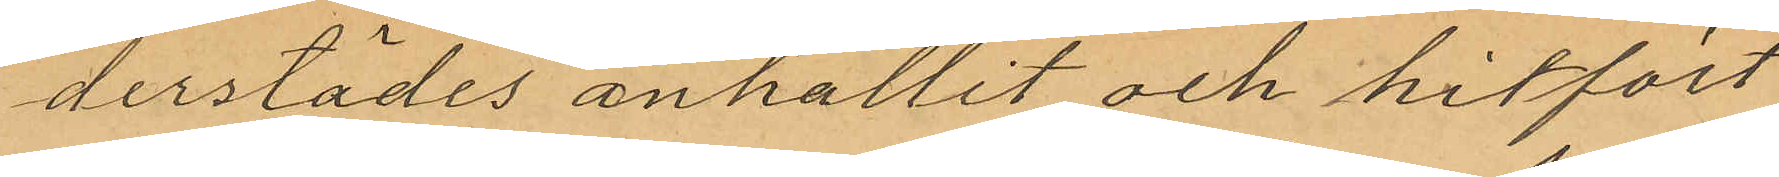derstädes anhallit och hitfört
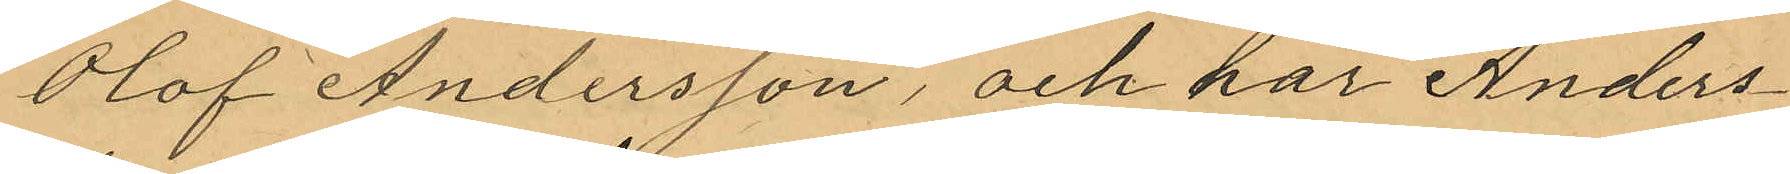Olof Andersson, och har Anders¬
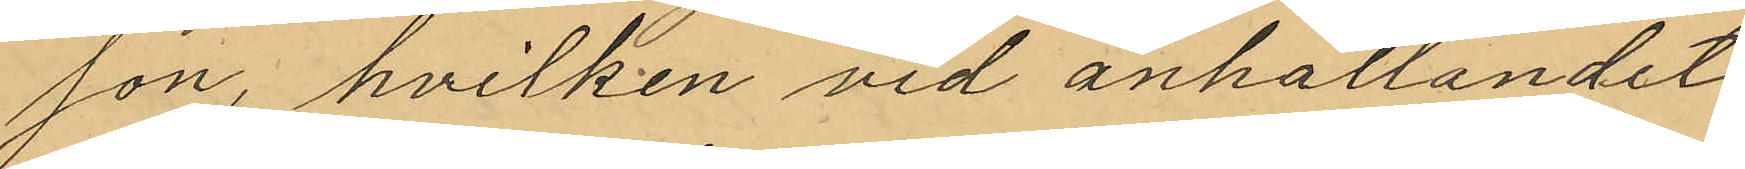son, hvilken vid anhållandet
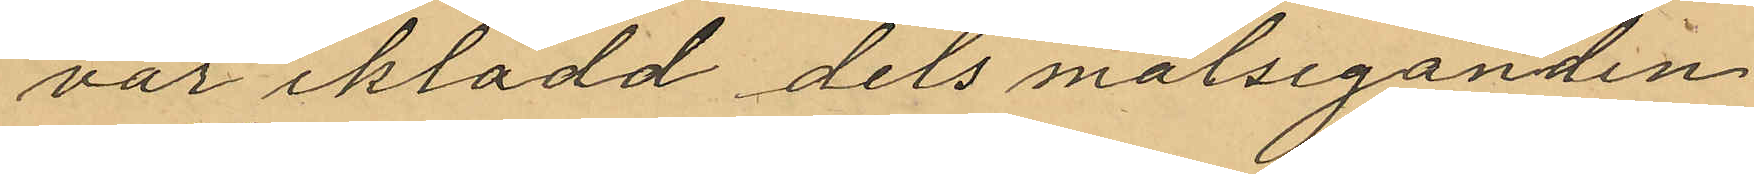var iklädd dels målseganden
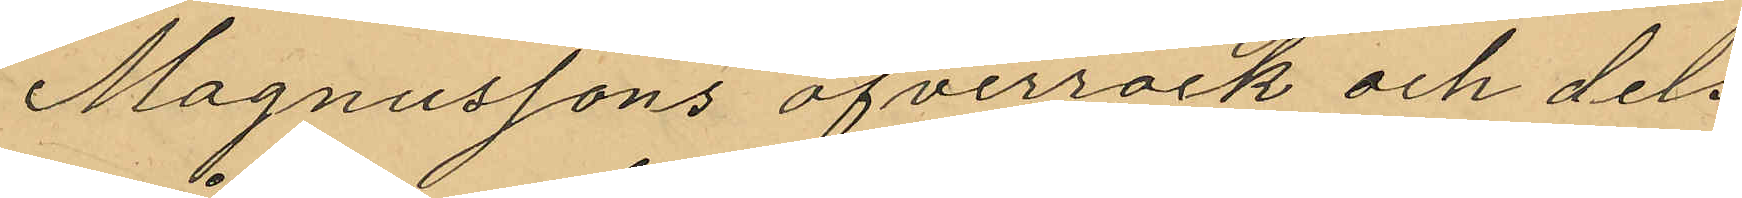Magnussons öfverrock och dels
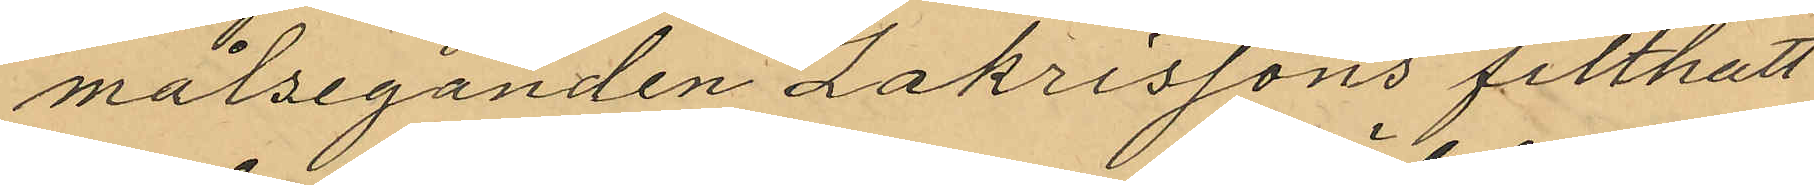målseganden Zakrissons filthatt
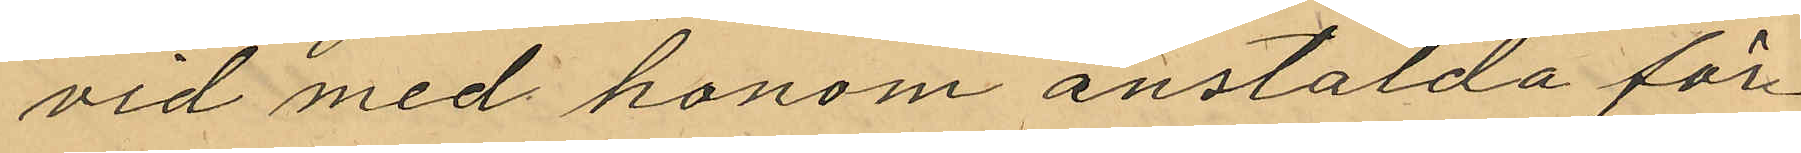vid med honom anstälda för¬
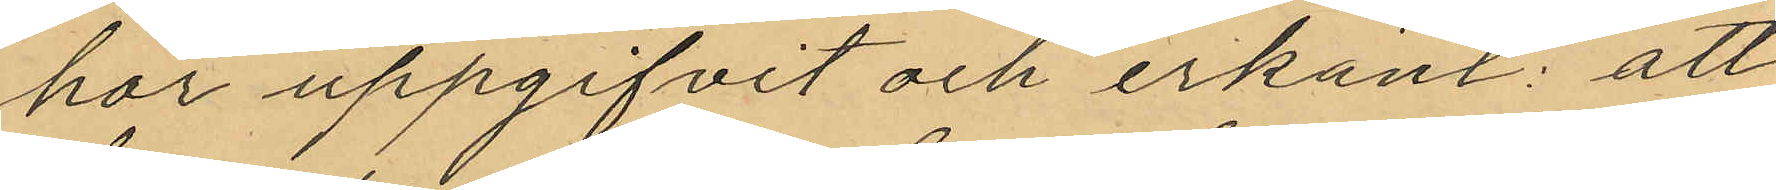hör uppgifvit och erkänt: att
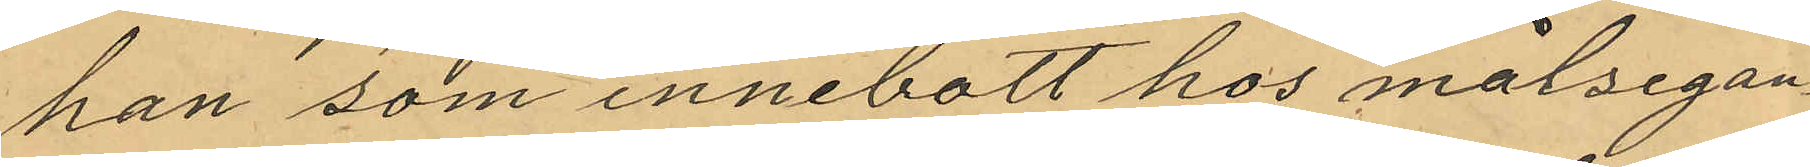han som innebott hos målsegan¬
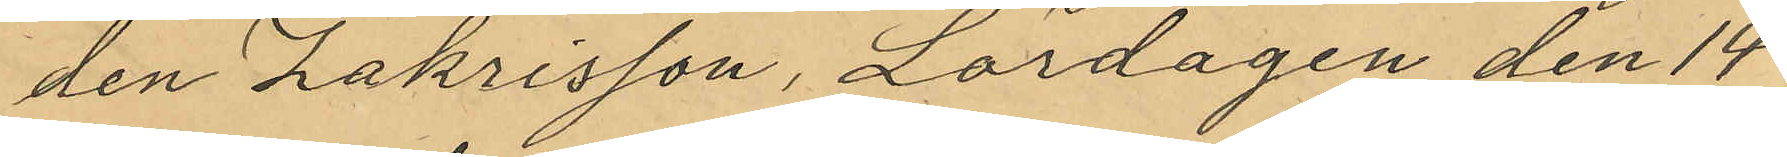den Zakrisson, Lördagen den 14
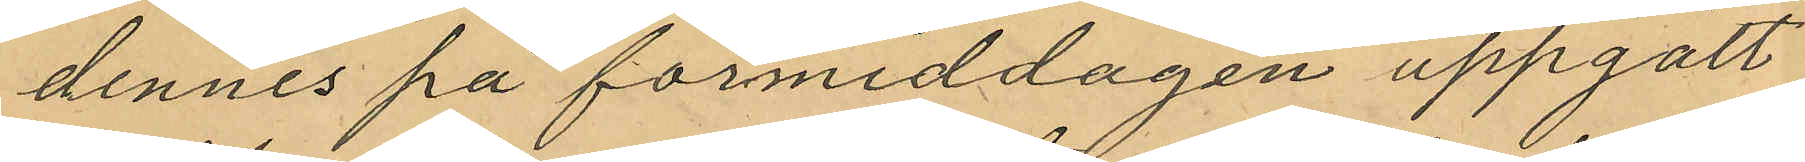dennes på förmiddagen uppgått
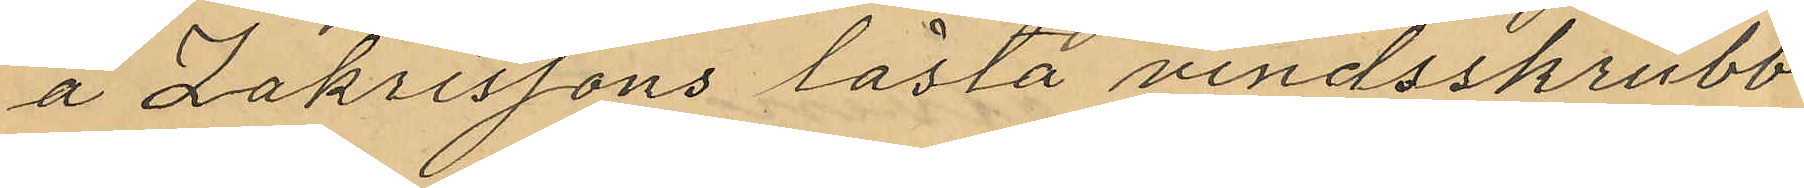å Zakrissons låsta vindsskrubb
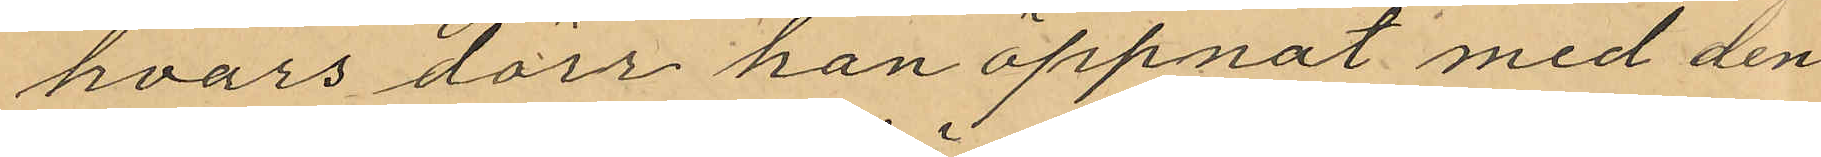hvars dörr han öppnat med den
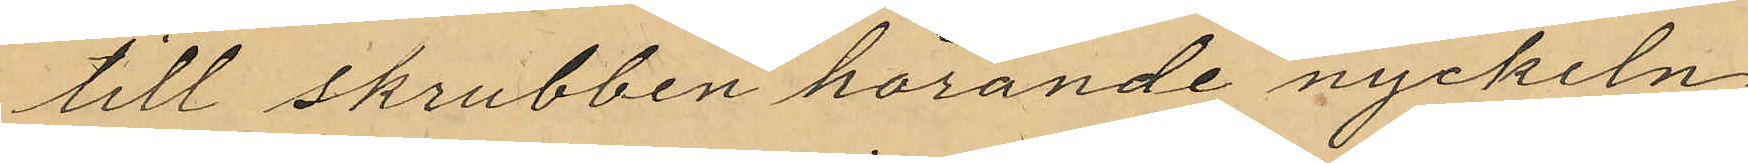till skrubben hörande nyckeln
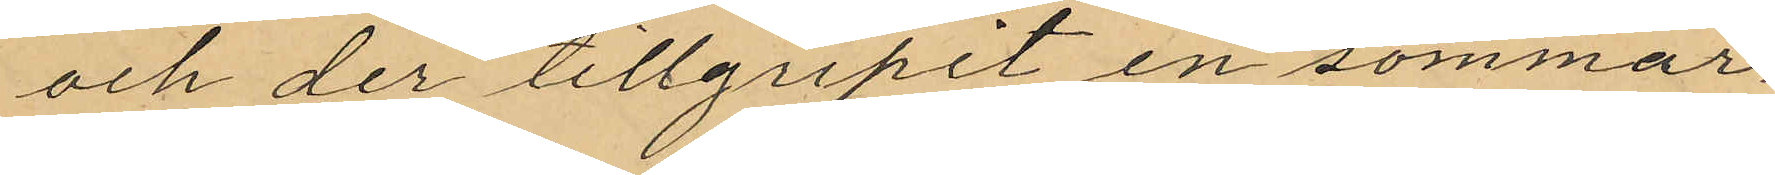och der tillgripit en sommar¬
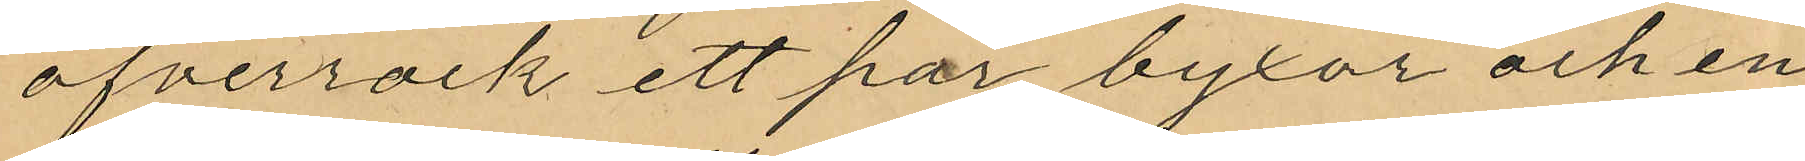öfverrock ett par byxor och en
